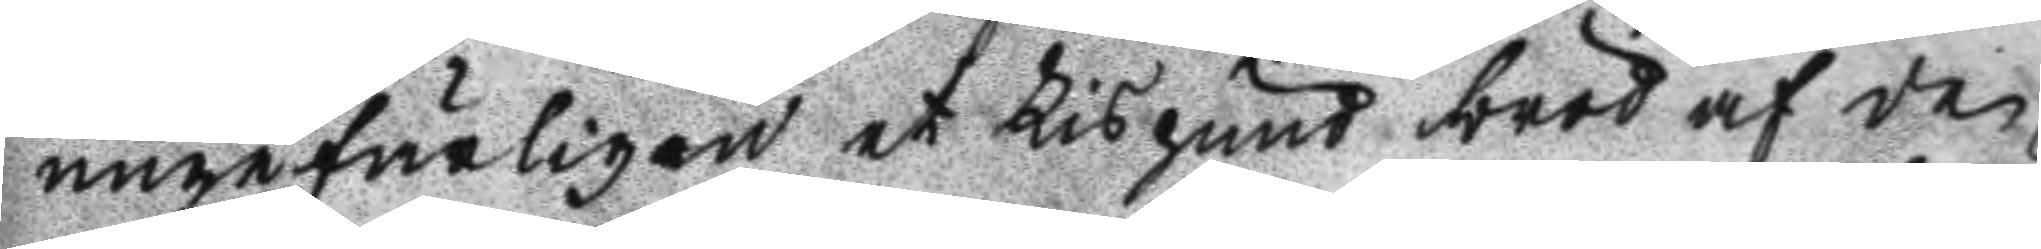ngefärligen et Lispund bröd af den
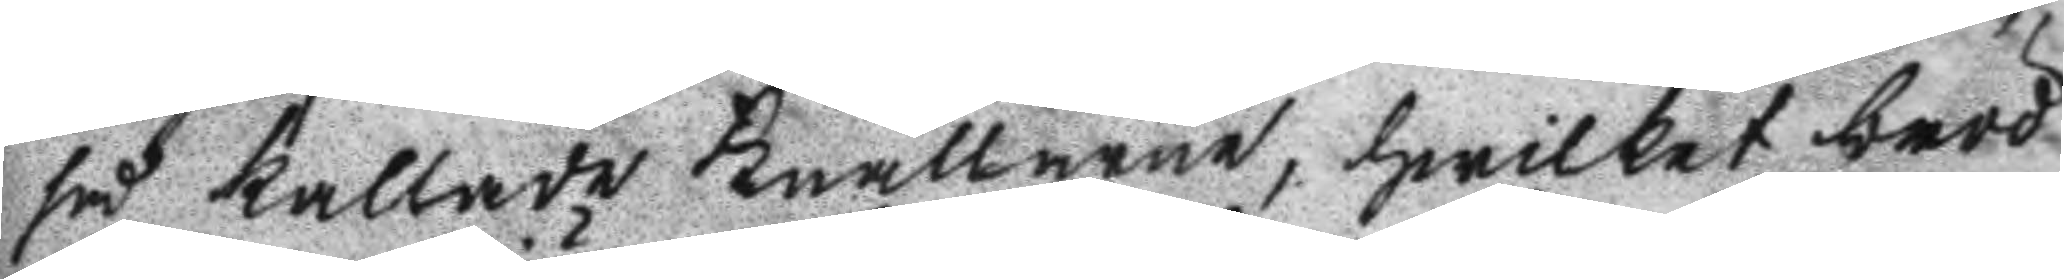så kallade knallarne, hwilket bröd 
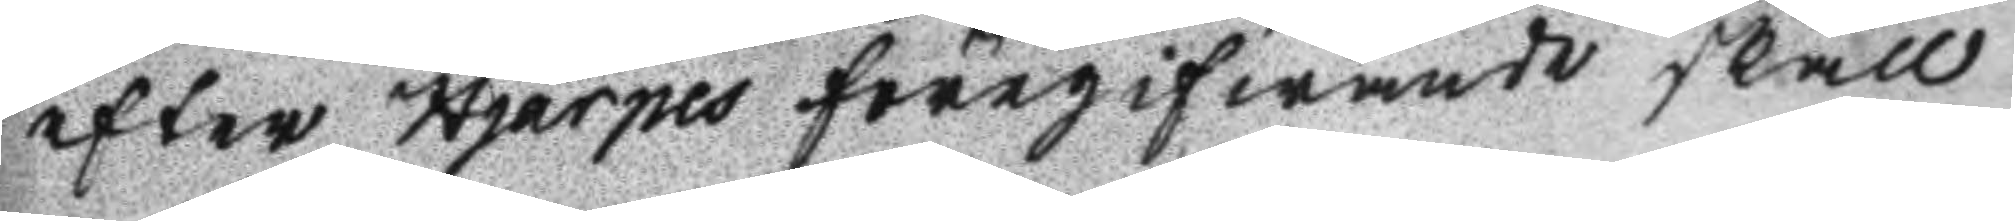efter Hjärpes föregifwande skall
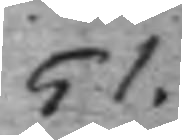51.
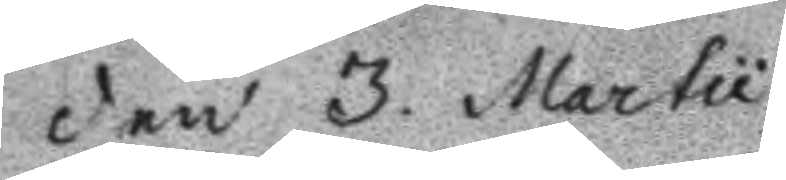Den 3. Martu
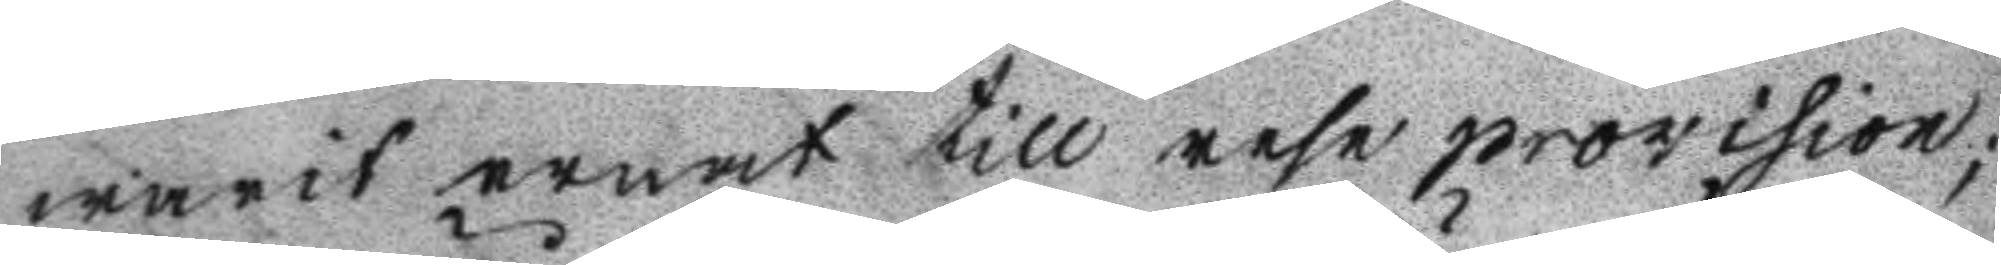warit ernat till rese provision;
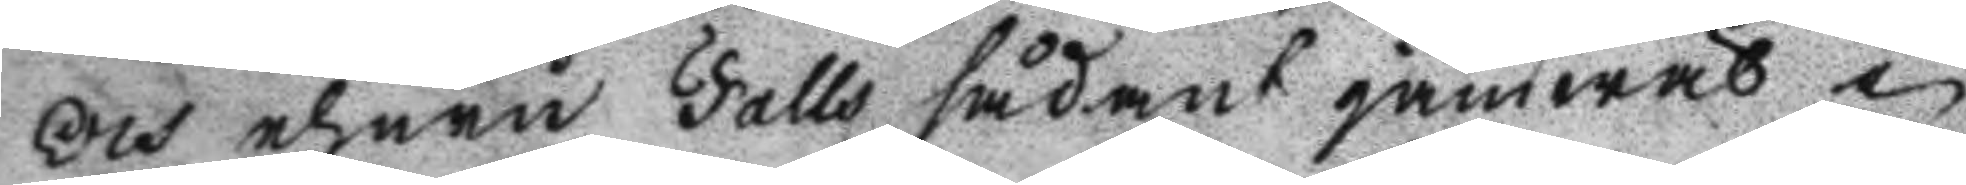Och ehuru Falls sådant jämwäl i
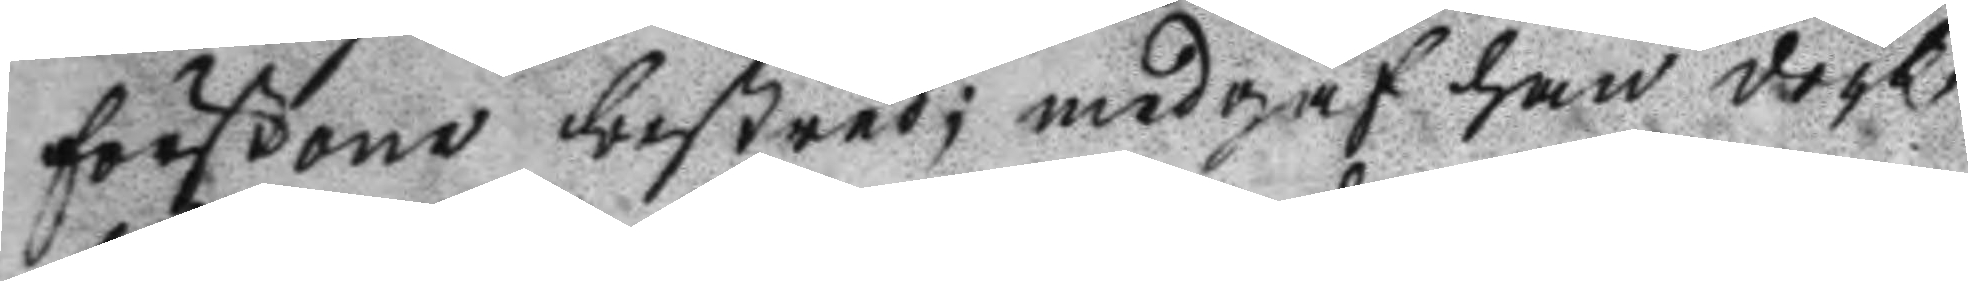förstone bestred; medgaf han dock
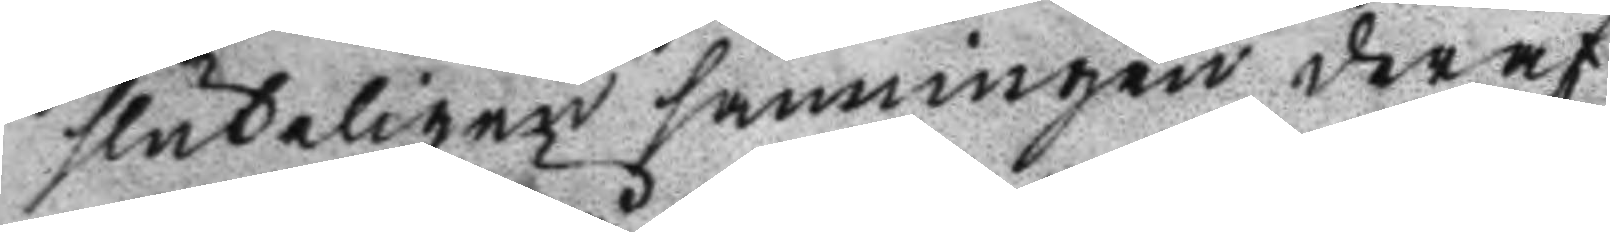sluteligen sanningen deraf.
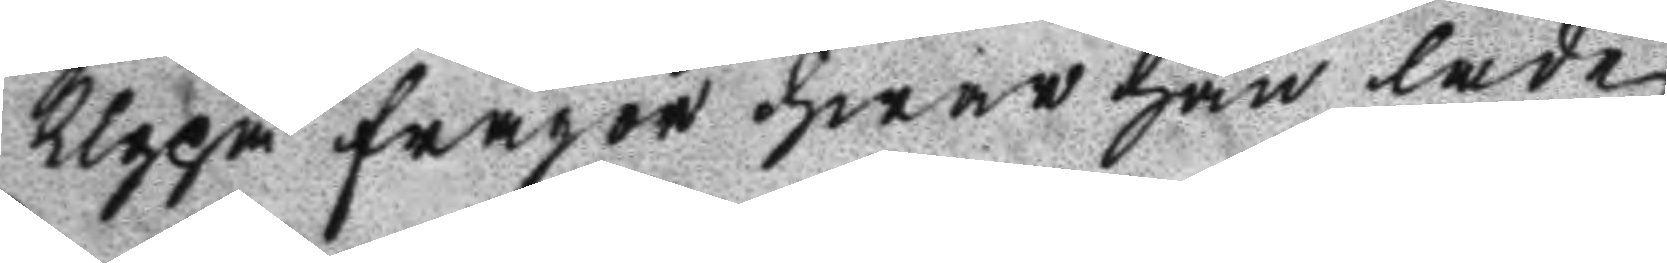Uppå frågor hwar han lade
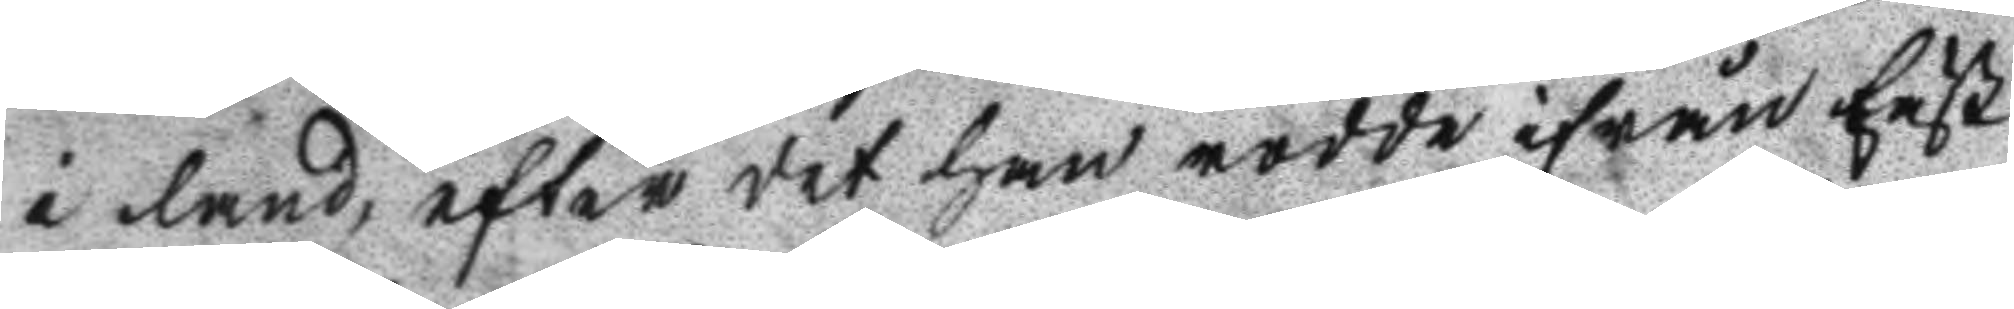i land, efter det han rodde ifrån Fäst
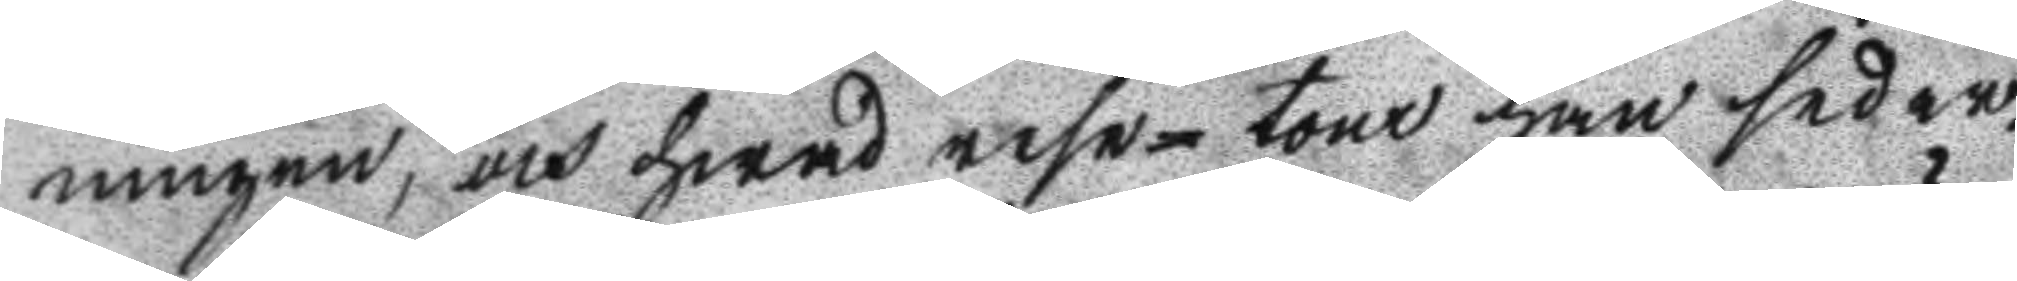ningen, och hwad rese-tour han seder¬
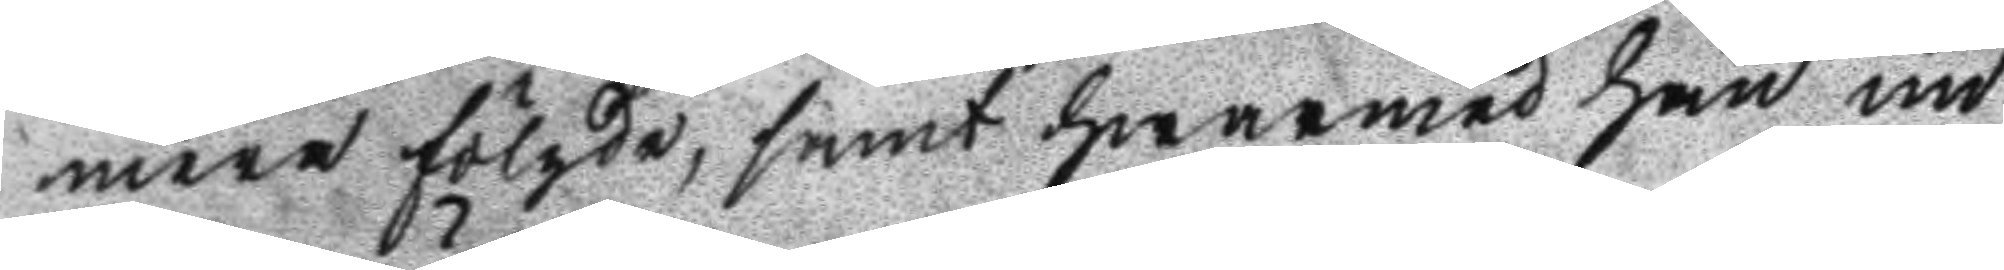mera fölgde, samt hwarmed han un
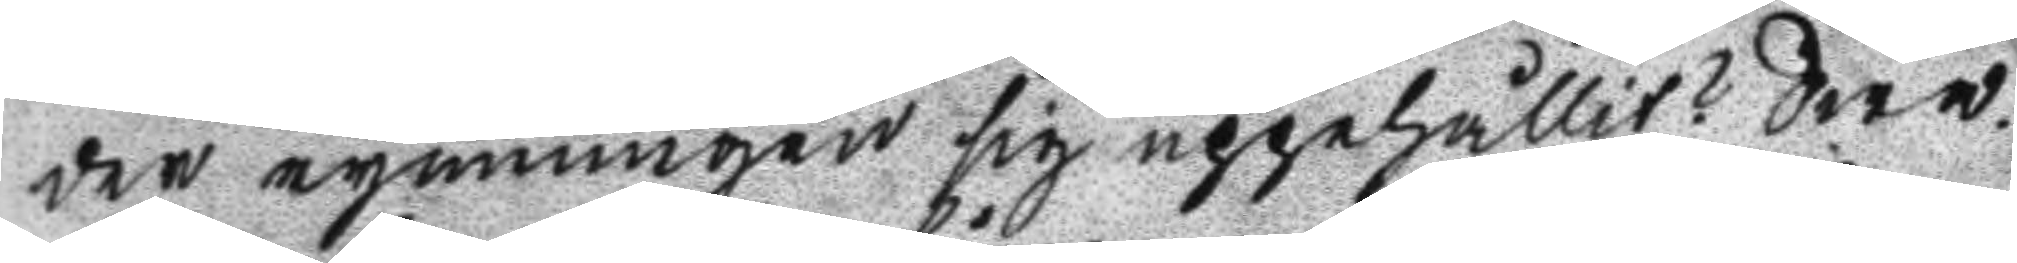der rymningen sig uppehållit? Swa¬
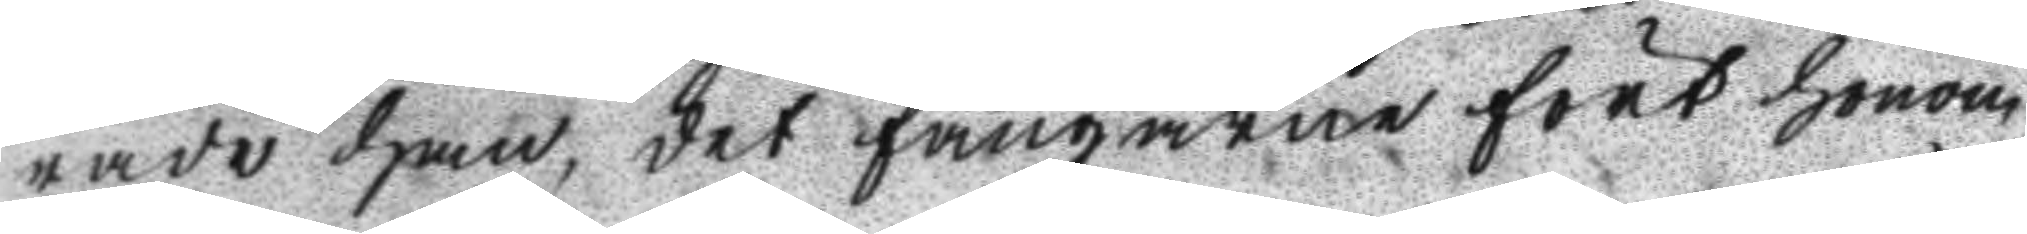rade han, det fångarne fört honom
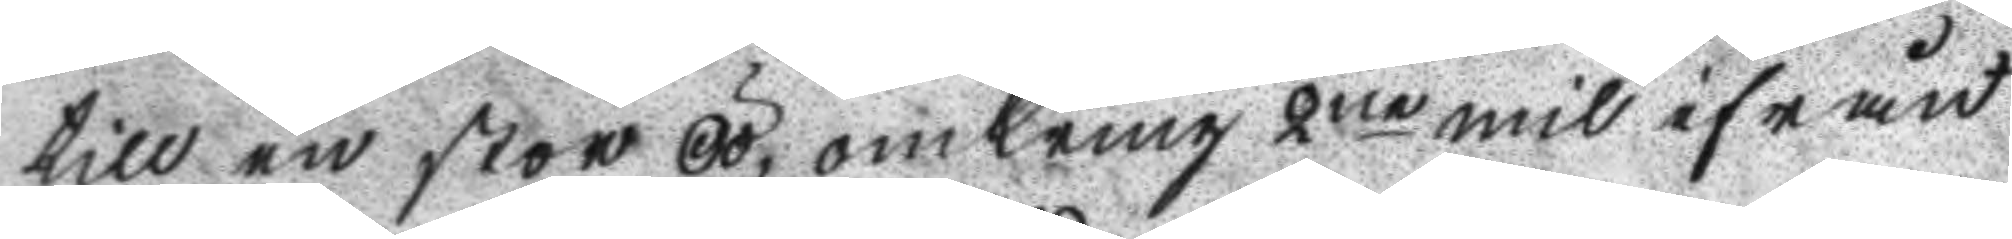till en stor Öö, omkring 2ne mil ifrån
